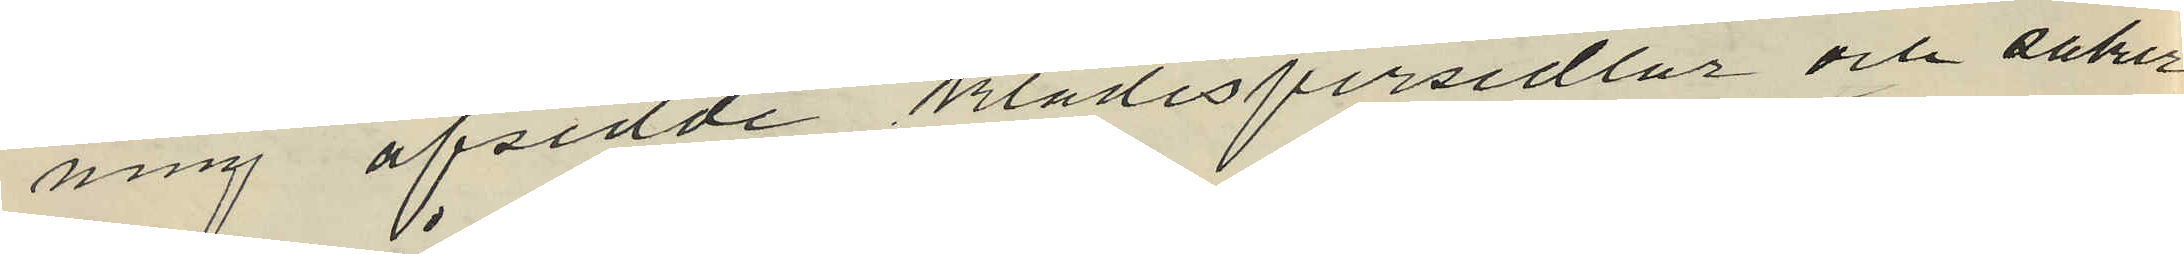ning afsedde klädespersedlar och saker
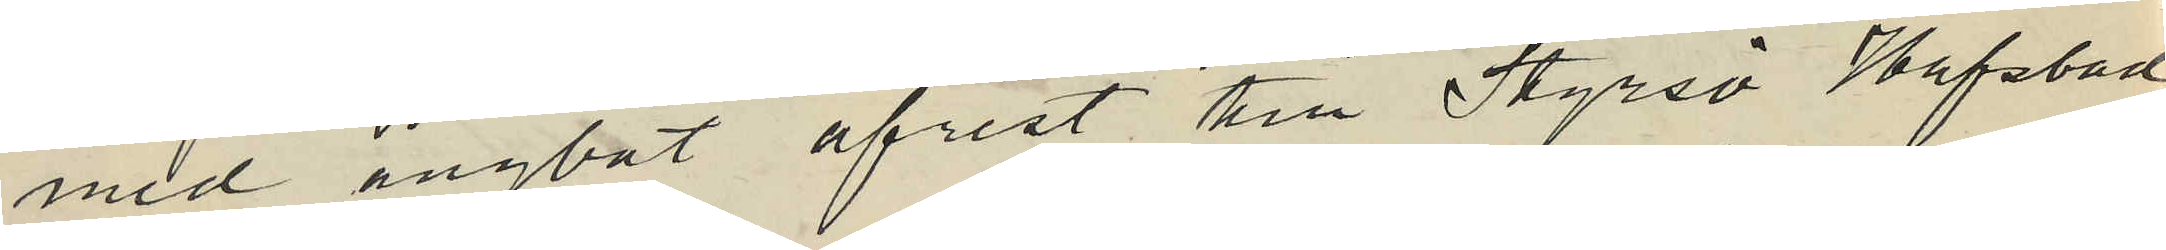med ångbåt afrest till Styrsö Hafsbad,
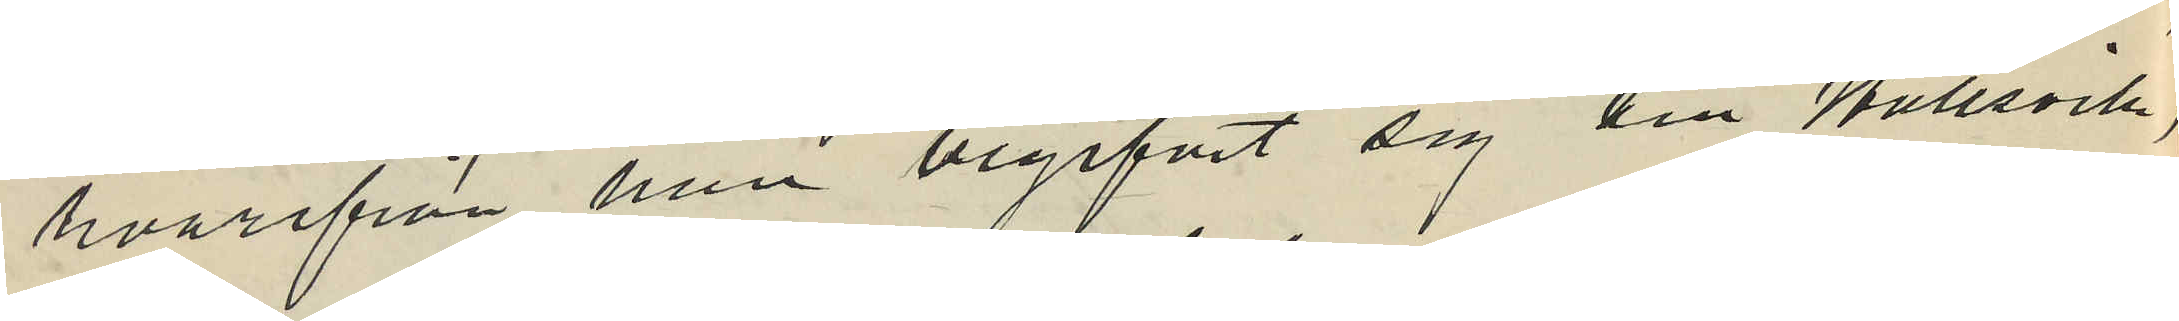hvarifrån han begifvit sig till Hullsvik,
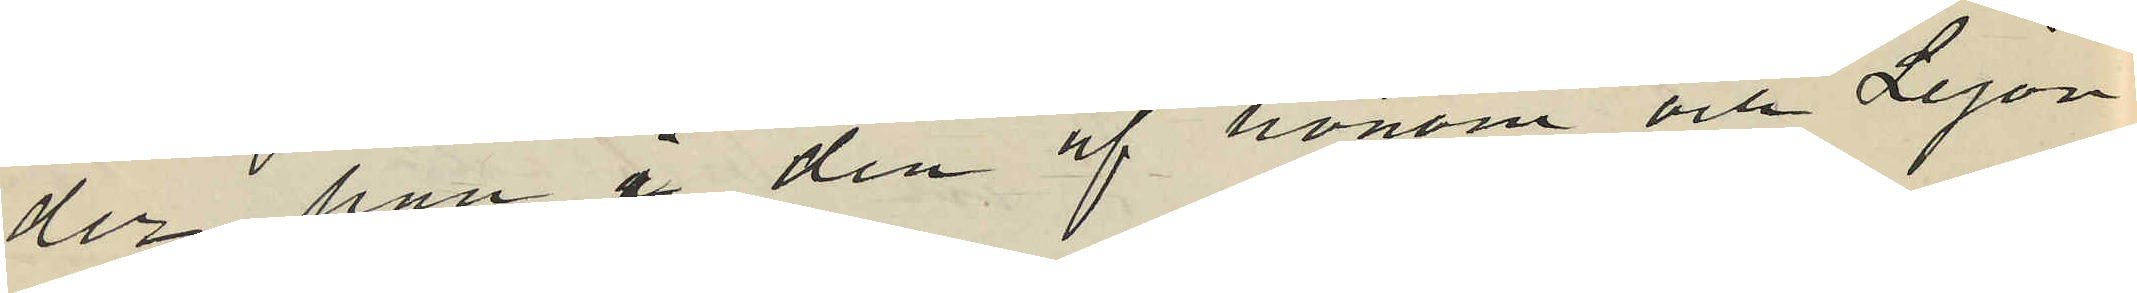der han i den af honom och Lejon
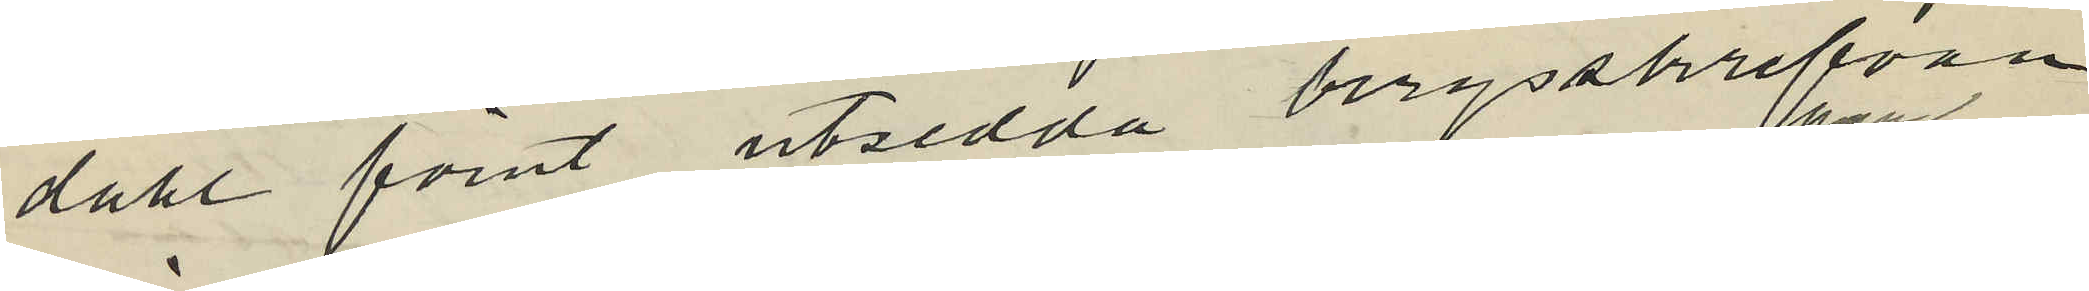dahl förut utsedda bergsskrefvan
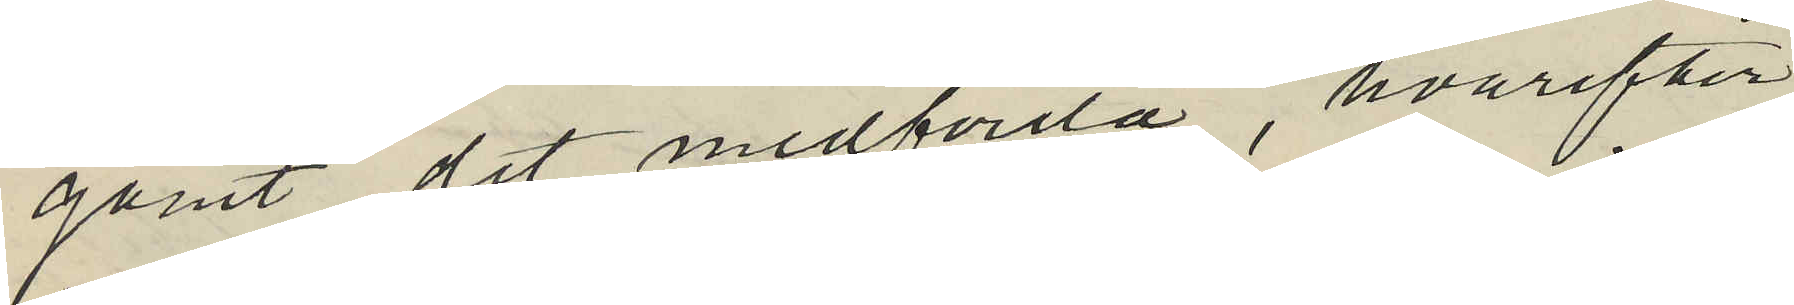gömt det medförda, hvarefter
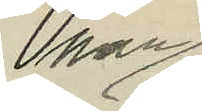han
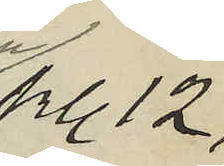kl 12,
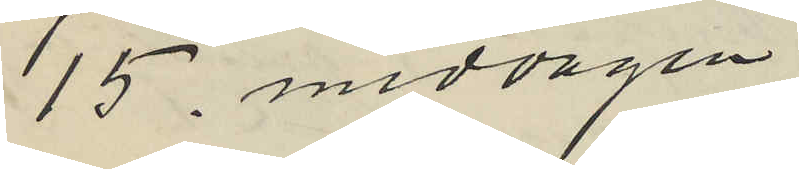15. middagen
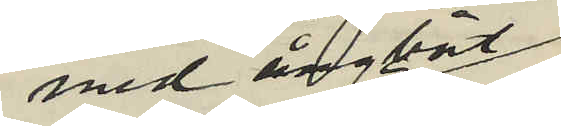med ångbåt
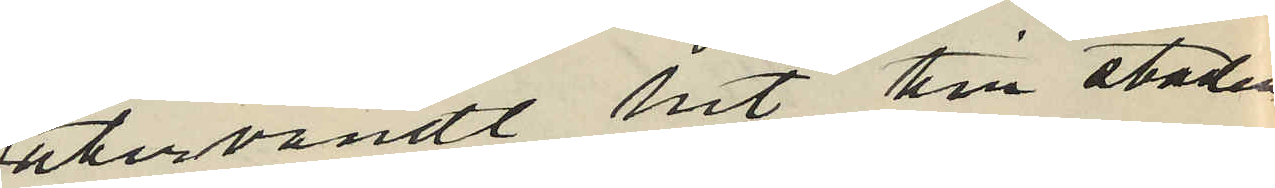återvändt hit till staden
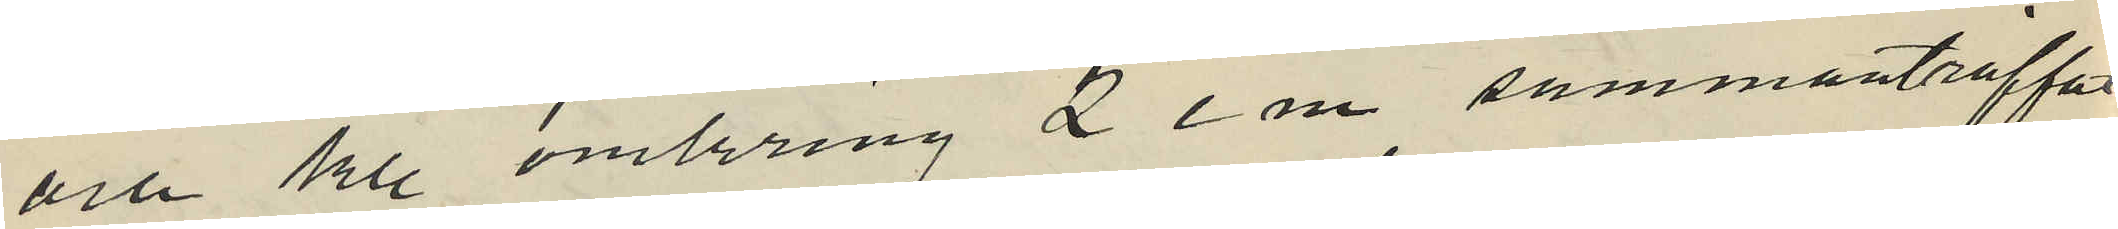och kl omkring 2 e m. sammanträffat
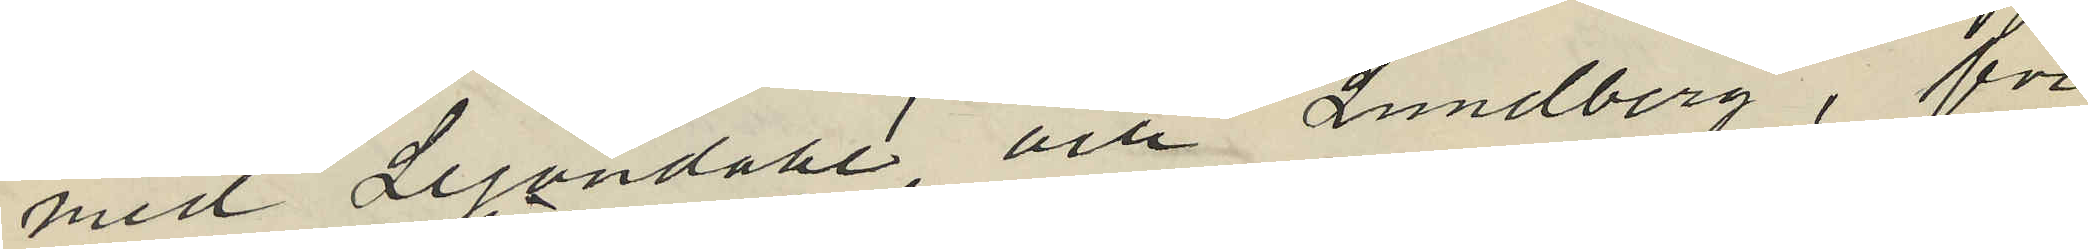med Lejondahl och Lundberg, för
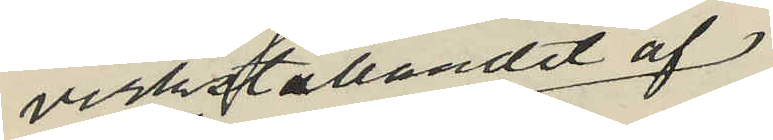verkställandet af
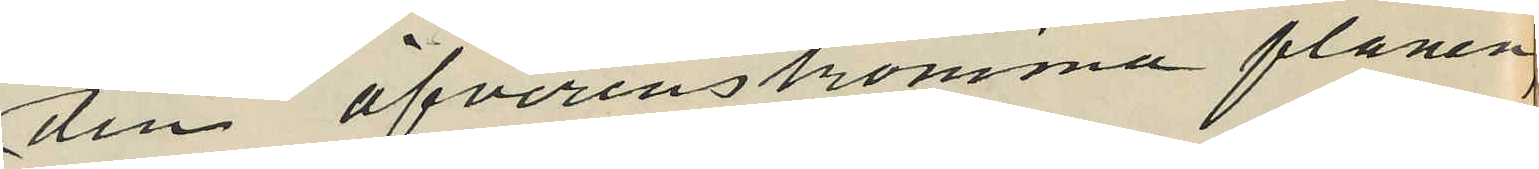den öfverenskomma planen,
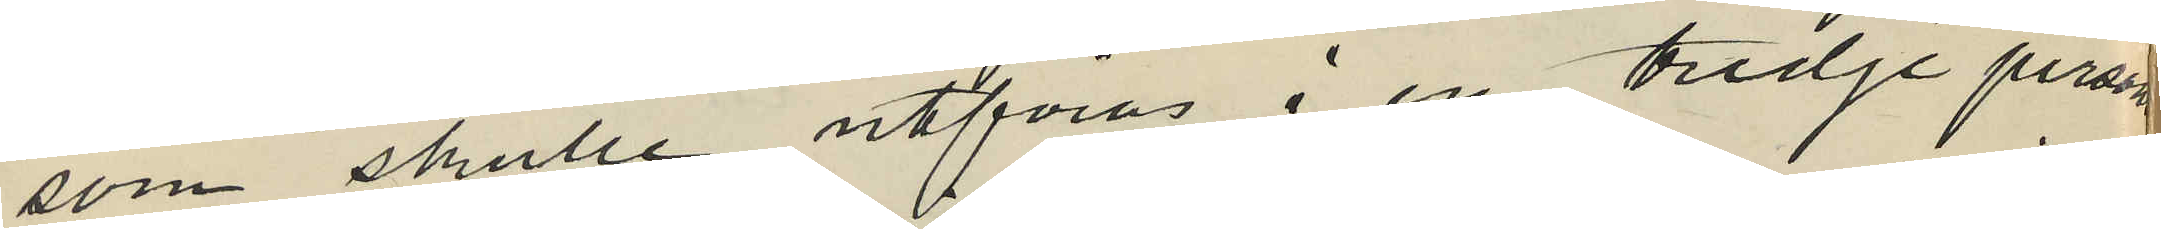som skulle utföras i en tredje persons
